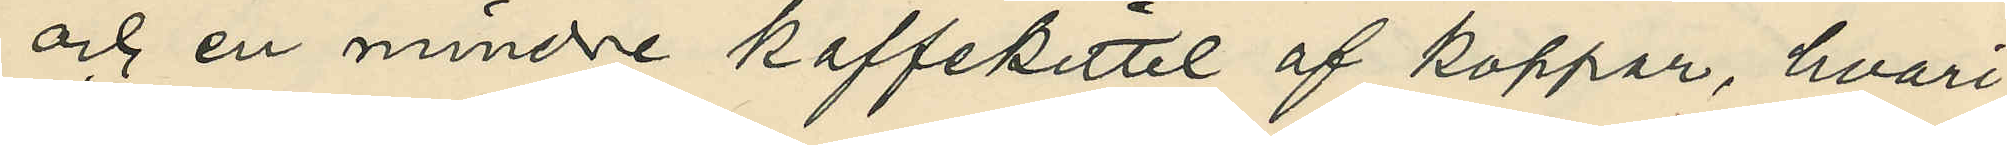och en mindre kaffekittel af koppar, hvari¬
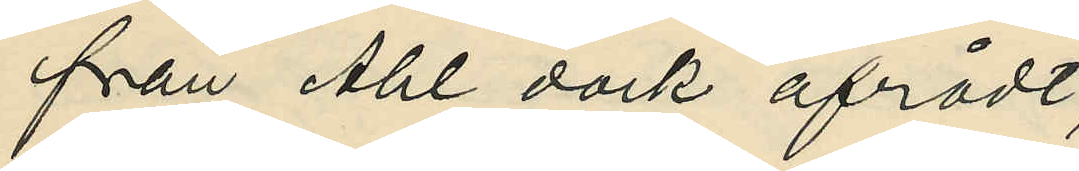från Ahl dock afrådt;
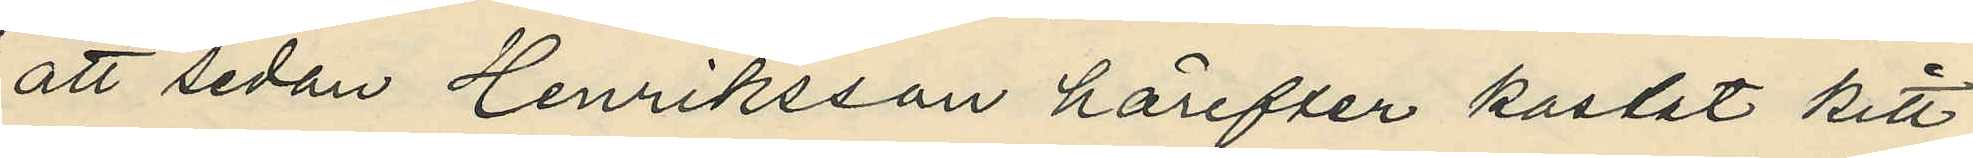att sedan Henriksson härefter kastat kitt¬
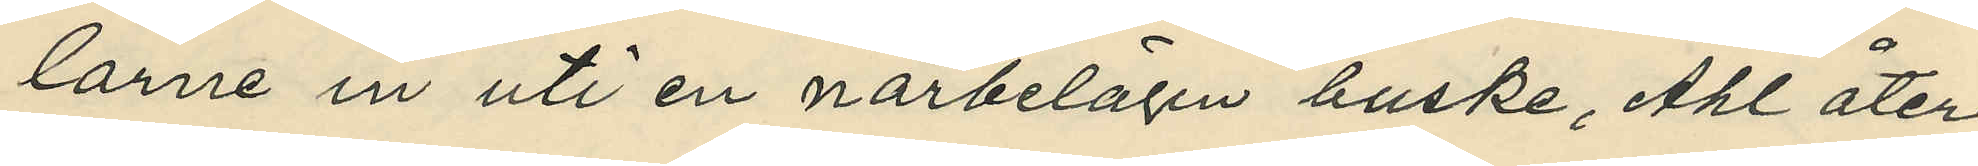larne in uti en närbelägen buske, Ahl åter¬
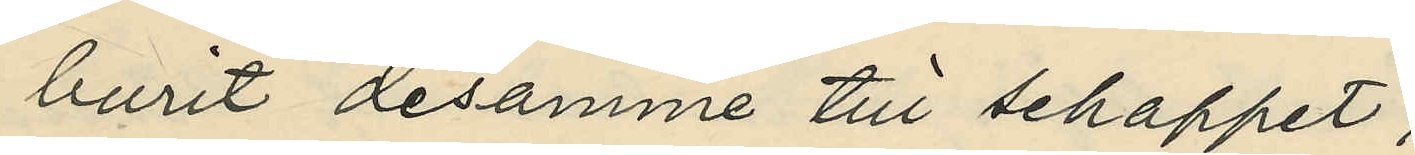burit desamme till schappet;
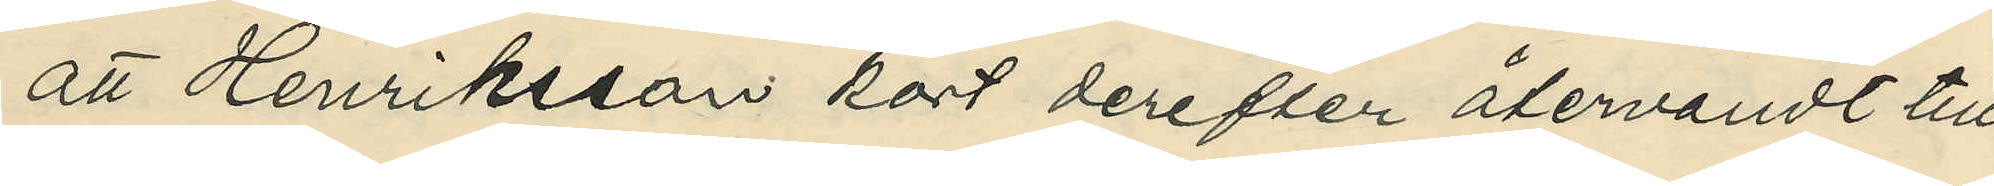att Henriksson kort derefter återvändt till
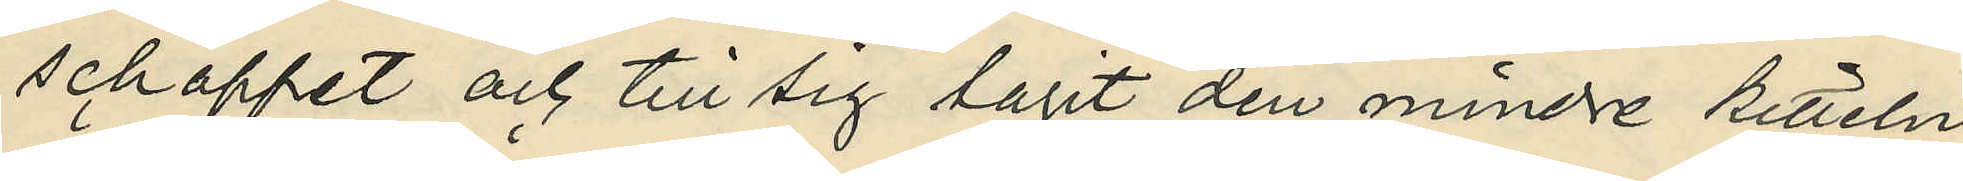schappet och till sig tagit den mindre kitteln,
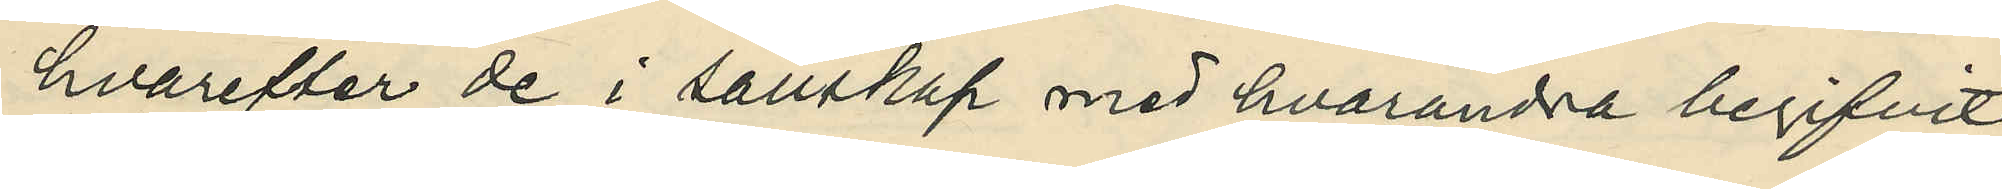hvarefter de i sällskap med hvarandra begifvit
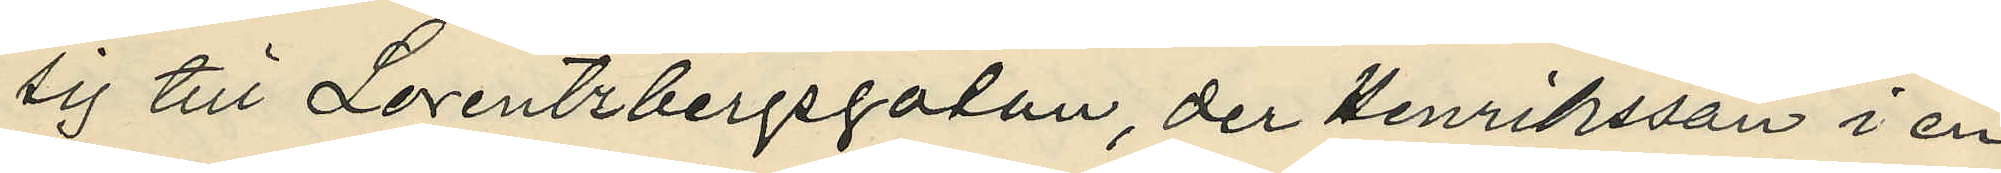sig till Lorentzbergsgatan, der Henriksson i en
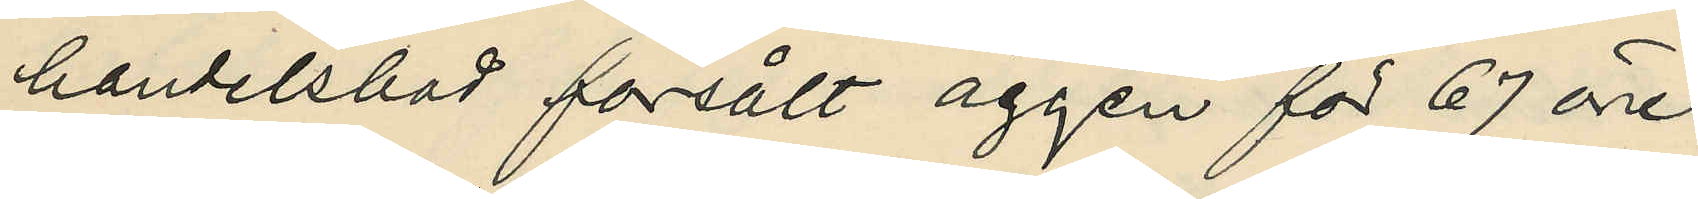handelsbod försålt äggen för 67 öre;
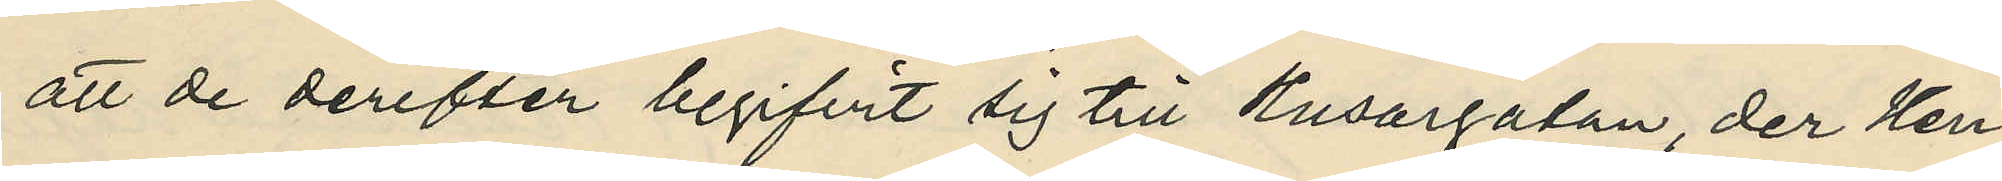att de derefter begifvit sig till Husargatan, der Hen¬
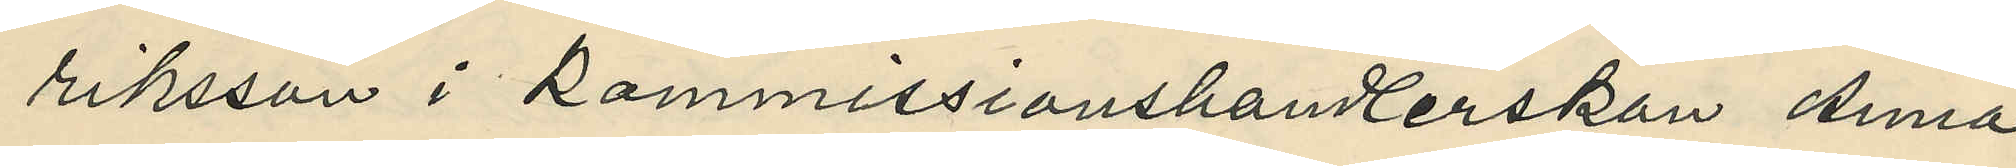riksson i Kommissionshandlerskan Anna
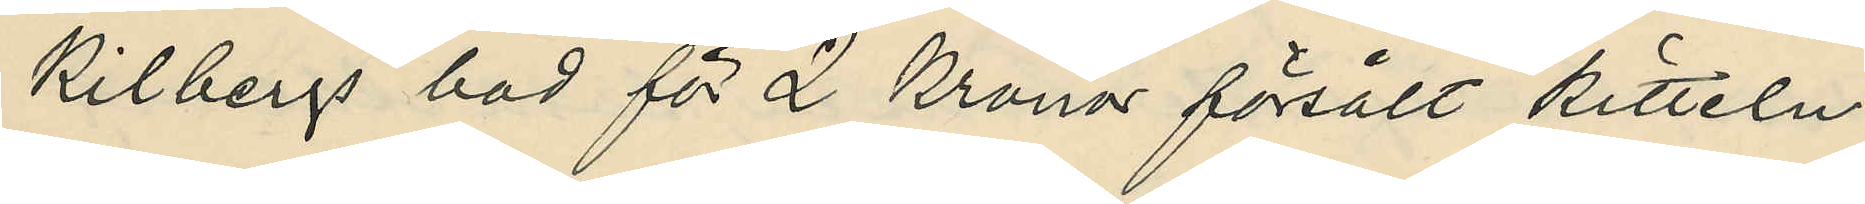Kilbergs bod för 2 Kronor försålt kitteln;
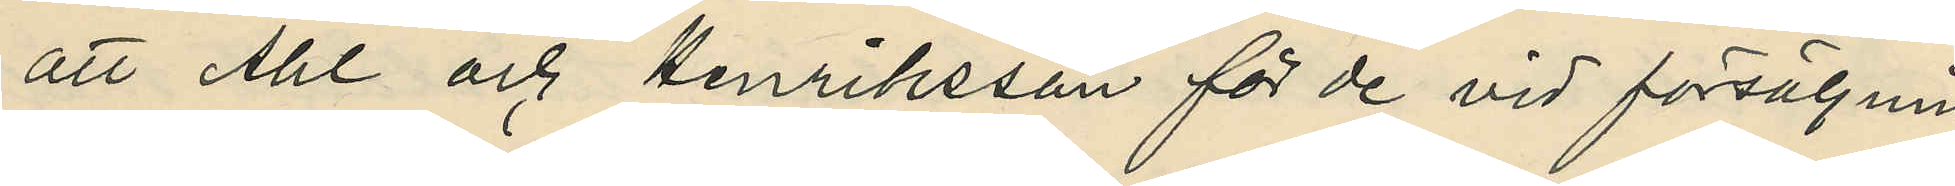att Ahl och Henriksson för de vid försäljnin¬
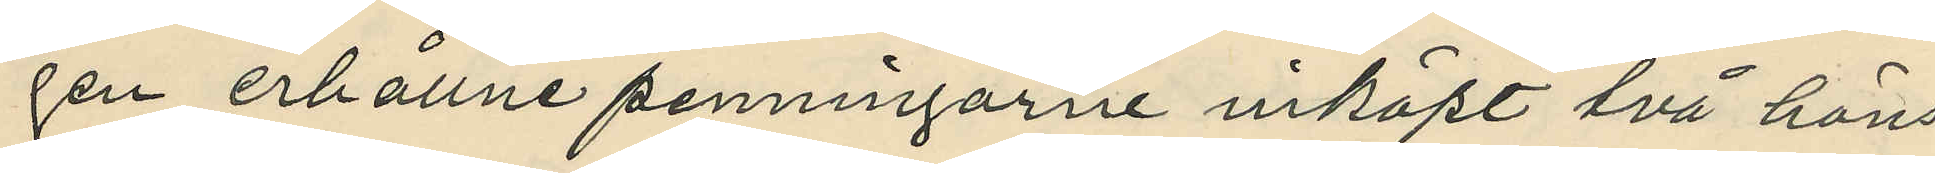gen erhållne penningarne inköpt två höns
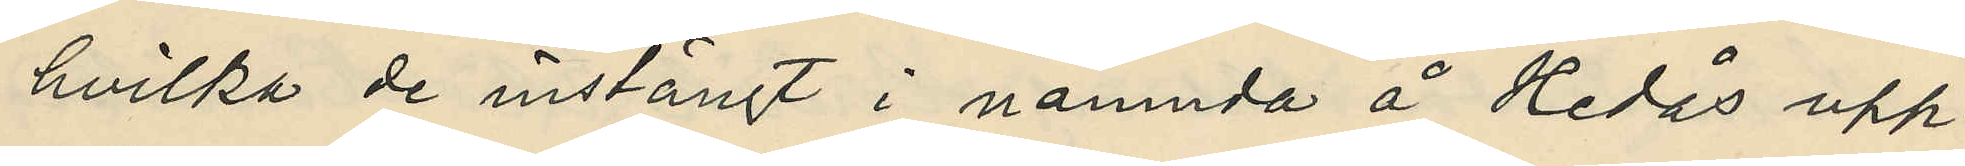hvilka de instängt i nämnda å Hedås upp¬
